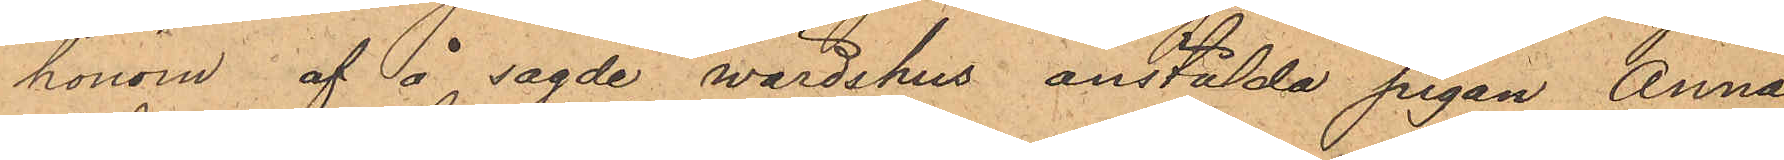honom af å sagde wärdshus anstälda pigan Anna
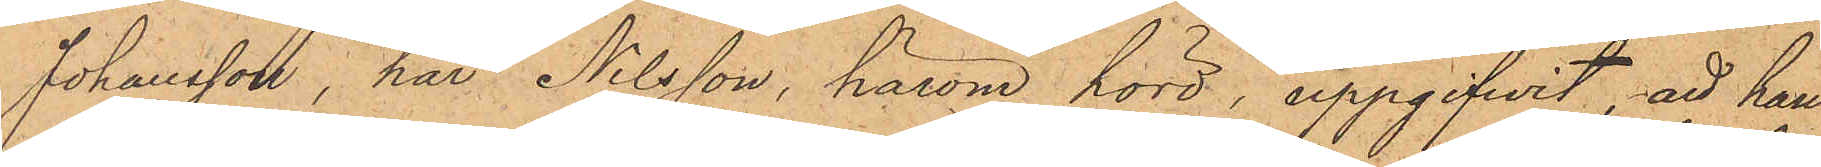Johansson, har Nilsson, härom hörd, uppgifvit, att han
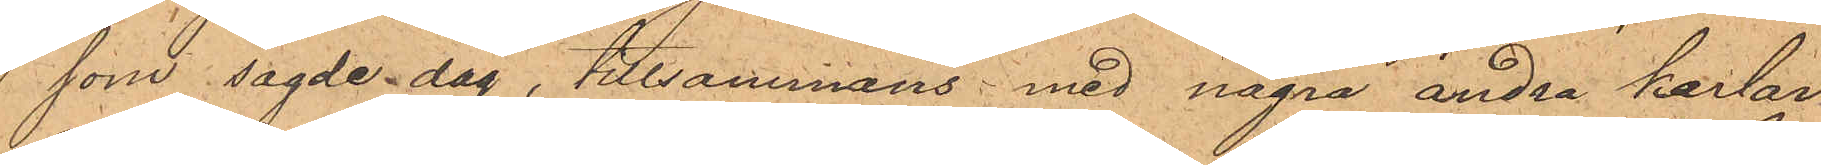som sagde dag, tillsammans med några andra karlar
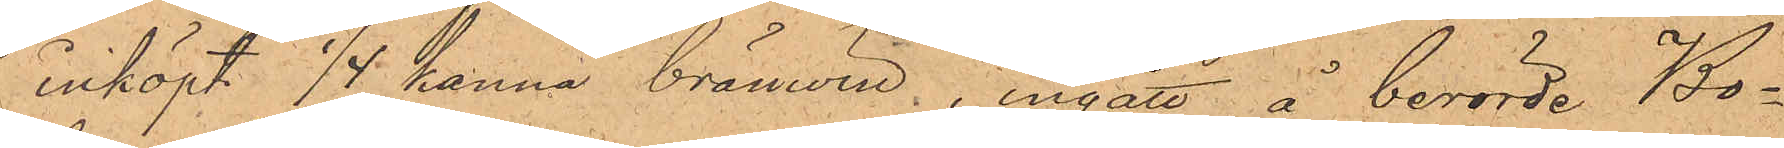inköpt 1/4 kanna bränwin, ingått å berörde Bo¬
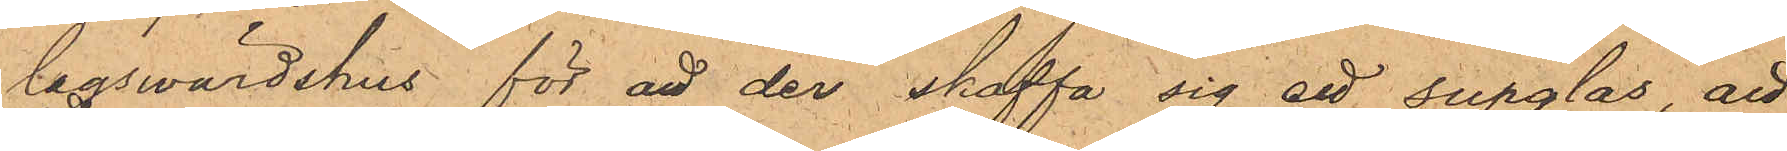lagswärdshus för att der skaffa sig ett supglas, att
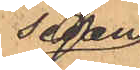sedan
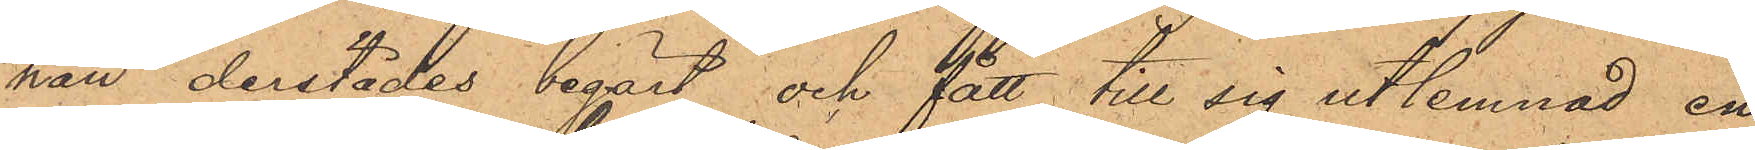han derstädes begärt och fått till sig utlemnad en
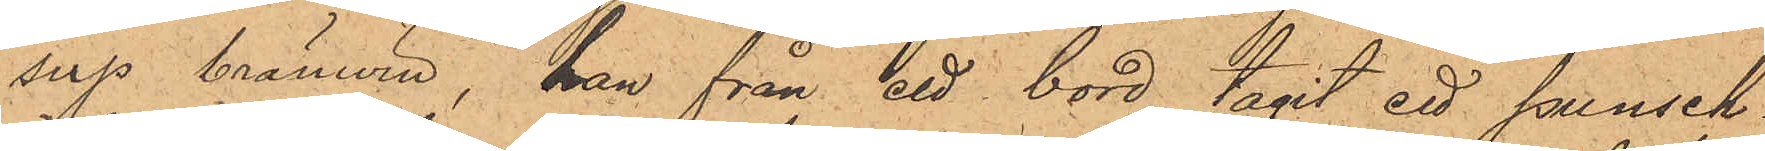sup bränwin, han från ett bord tagit ett punsch¬
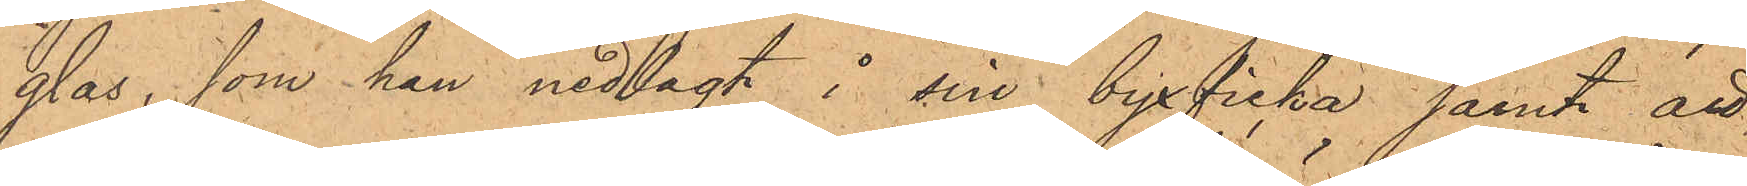glas, som han nedlagt å sin byxficka samt att,
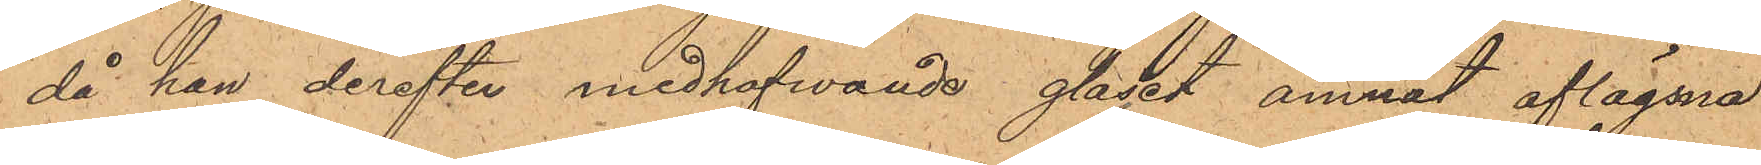då han derefter medhafwande glaset ämnat aflägsna
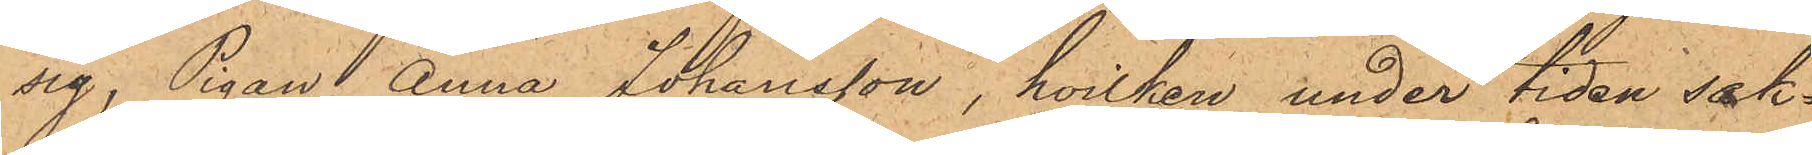sig, Pigan Anna Johansson, hvilken under tiden sak¬
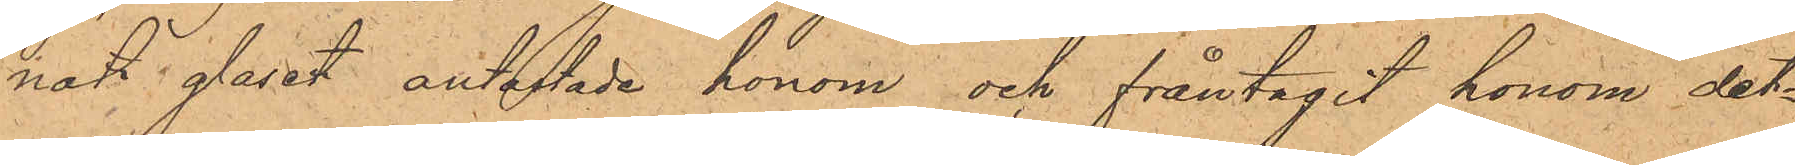natt glasat antastade honom och fråntagit honom det¬
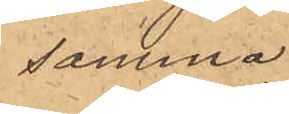samma.
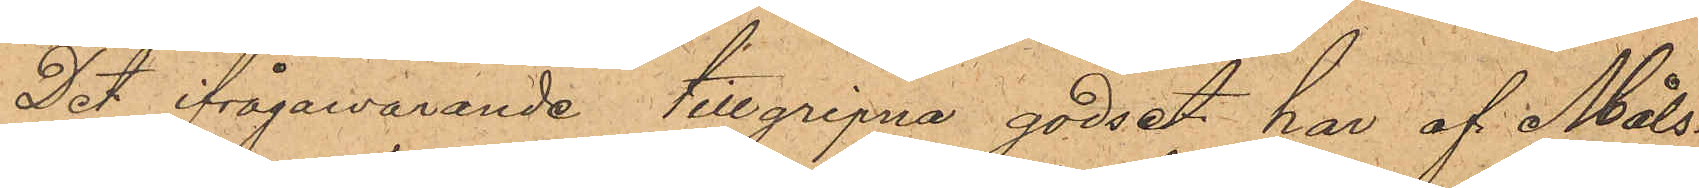Det ifrågawarande tillgripna godset har af Måls¬
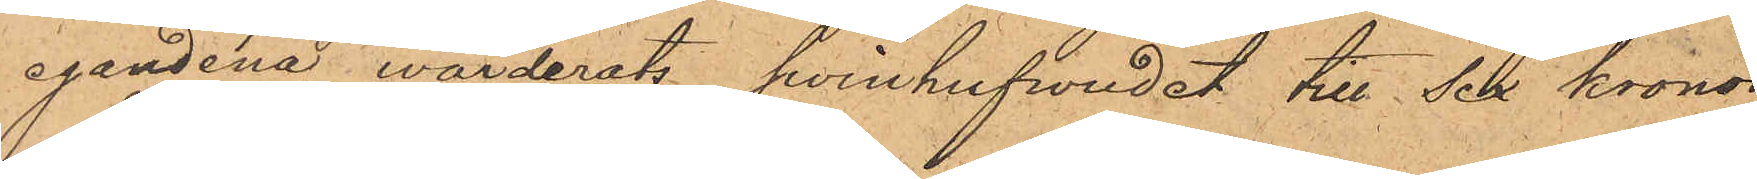egandena värderats, Svinhufwudet till Sex kronor
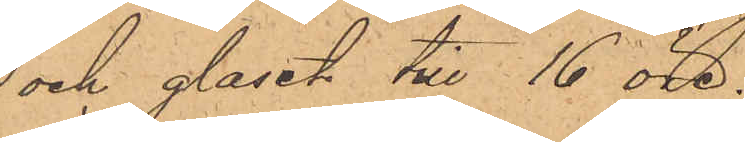och glaset till 16 öre.
